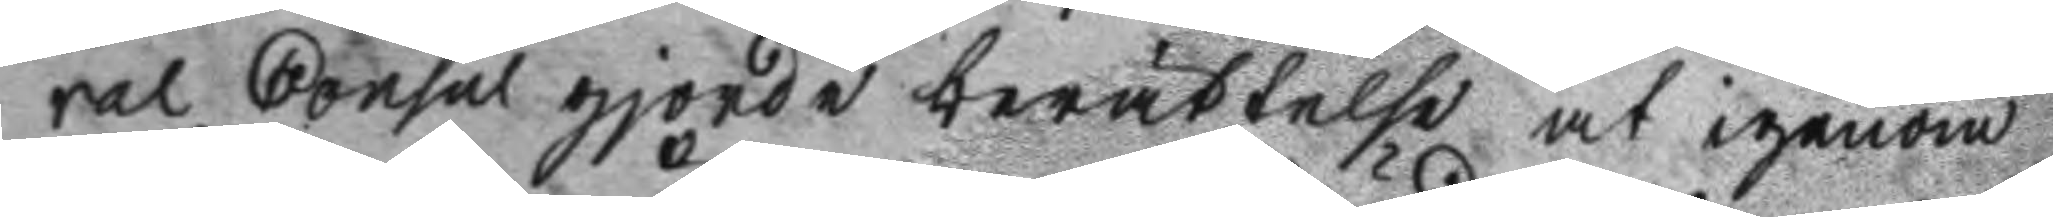ral Consul gjorde berättelse at igenom
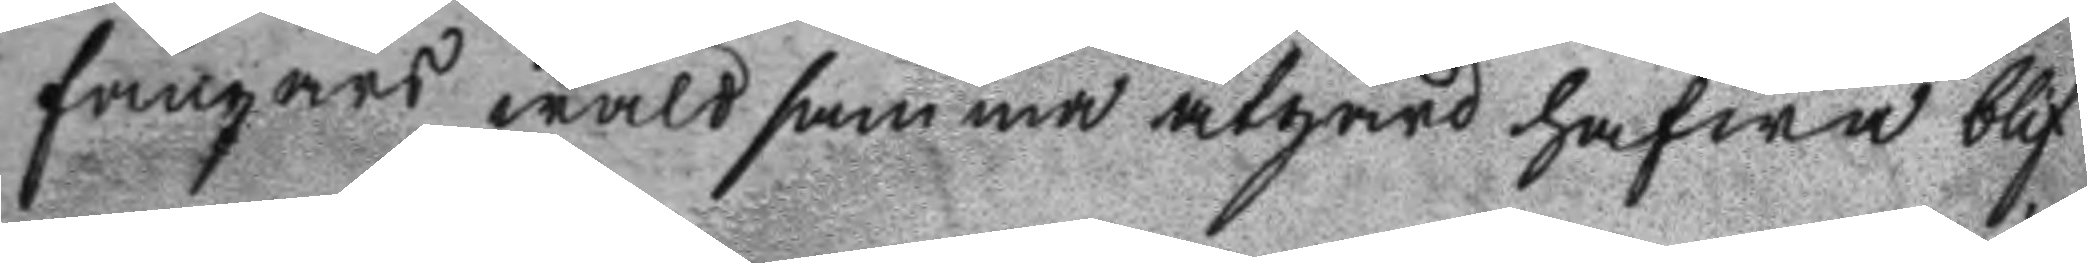fångars wåldsamma åtgärd hafwa blif
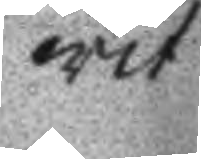wit
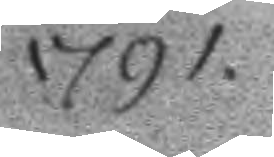1791.
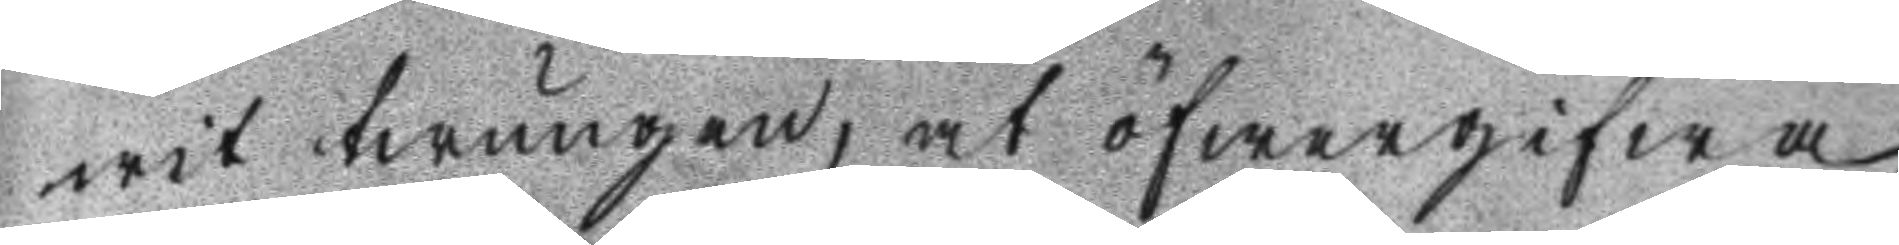wit twungen, at öfwergifwa
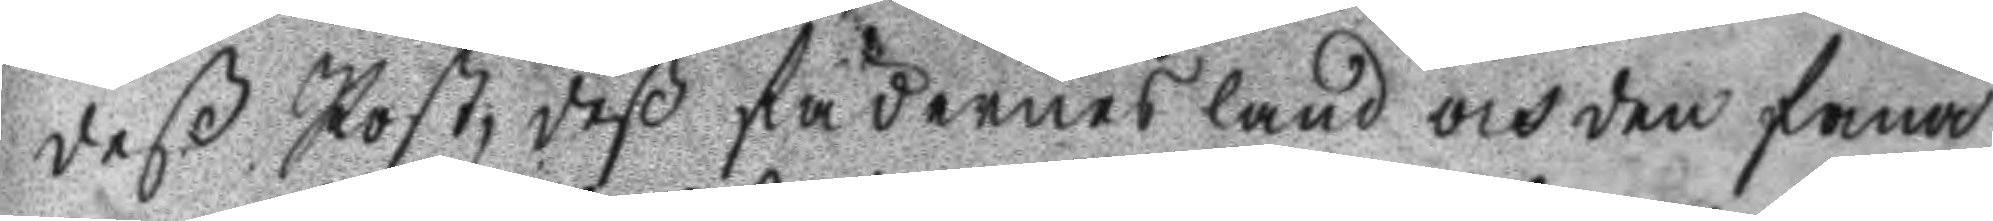deß Post, deß fädernesland och den fana
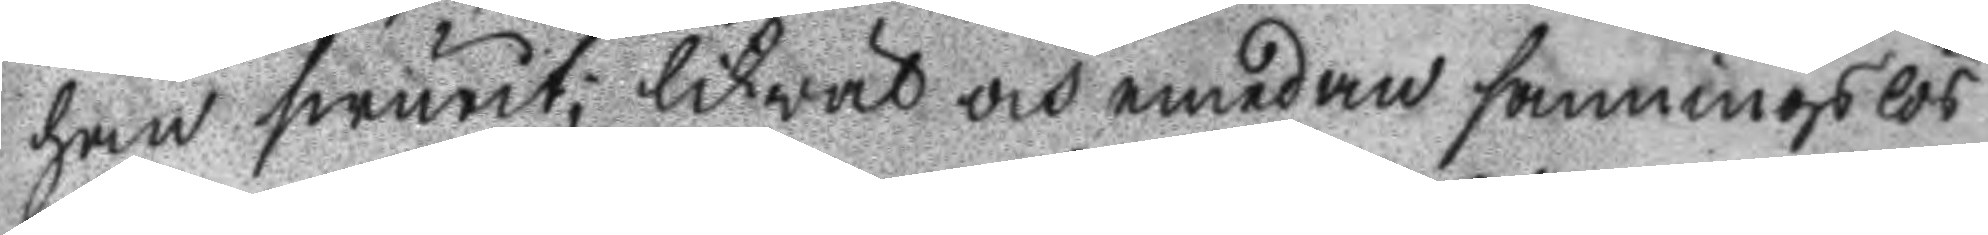han swurit; likwäl och emedan sanningslös
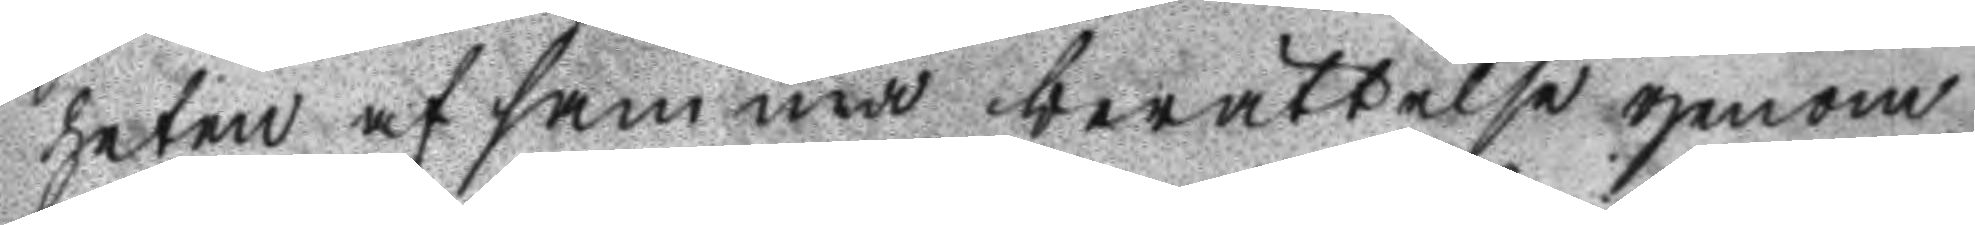heten af samma berättelse genom
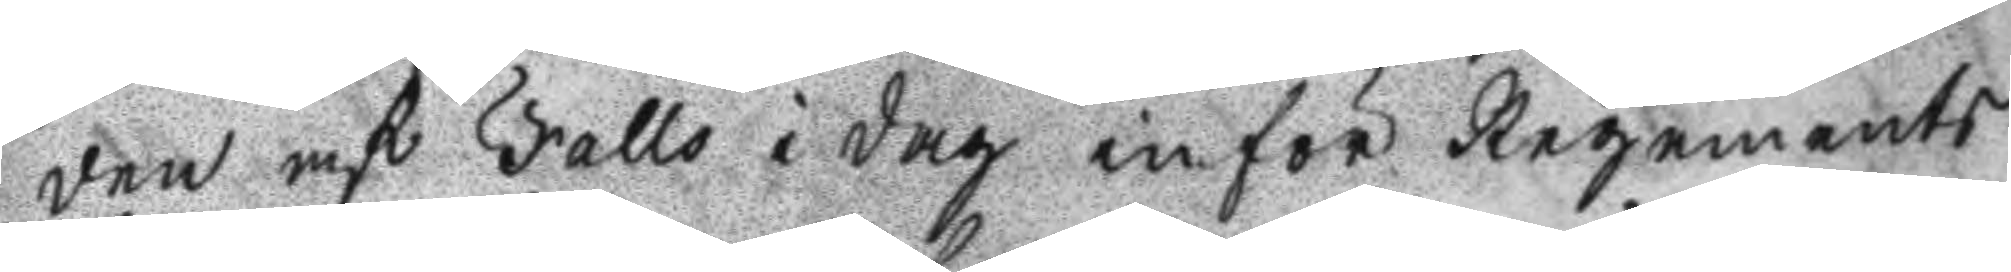den af Falls i dag inför Regements
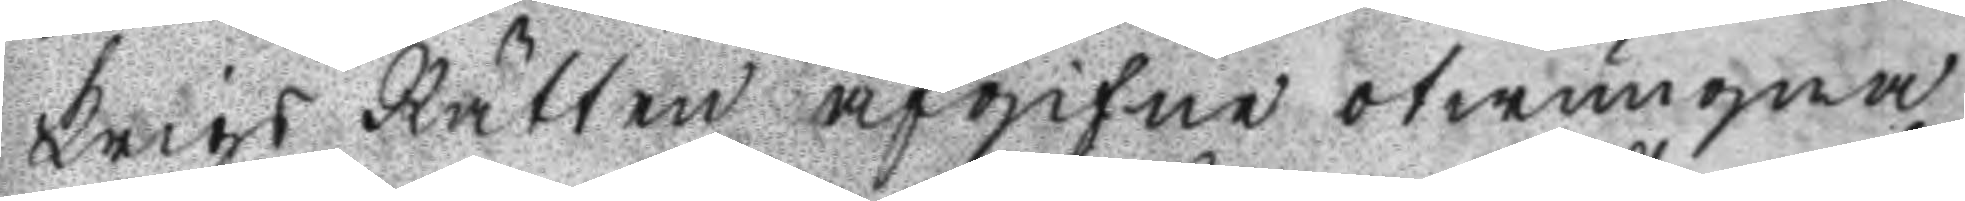Krigs Rätten afgifne otwungne
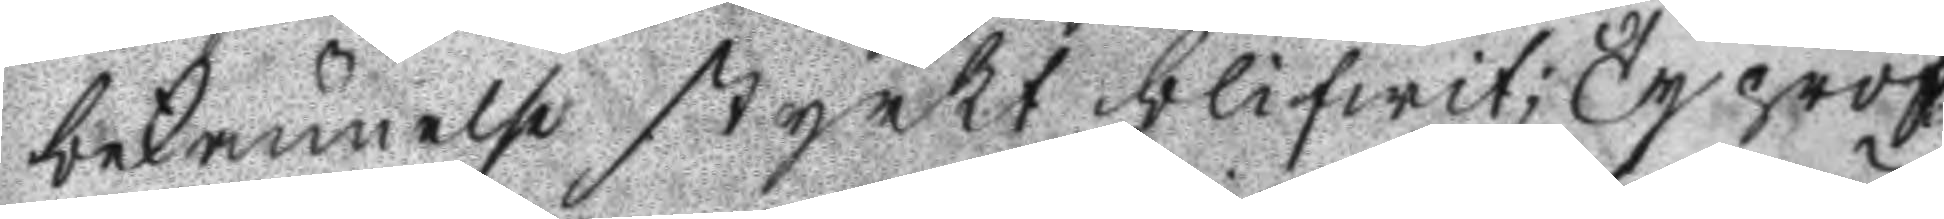bekännelse styrkt blifwit; Ty pröf
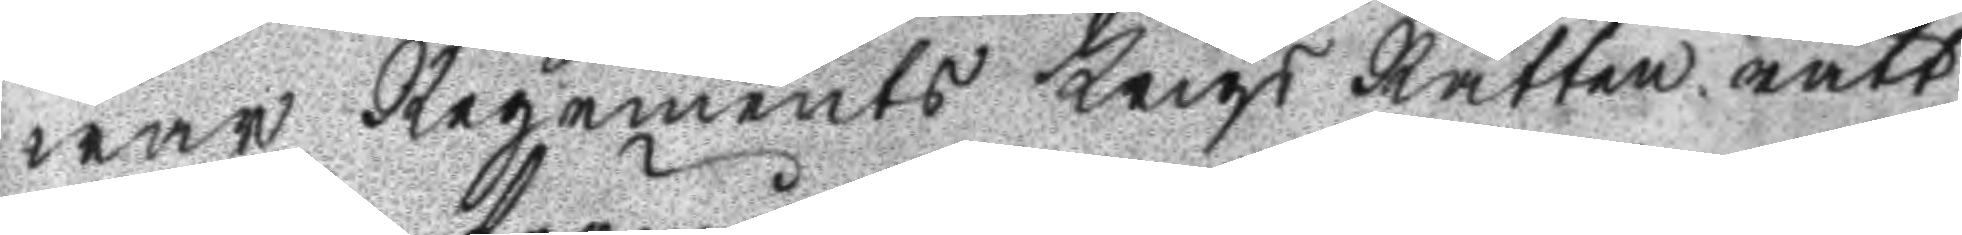war Regements Krigs Rätten rätt
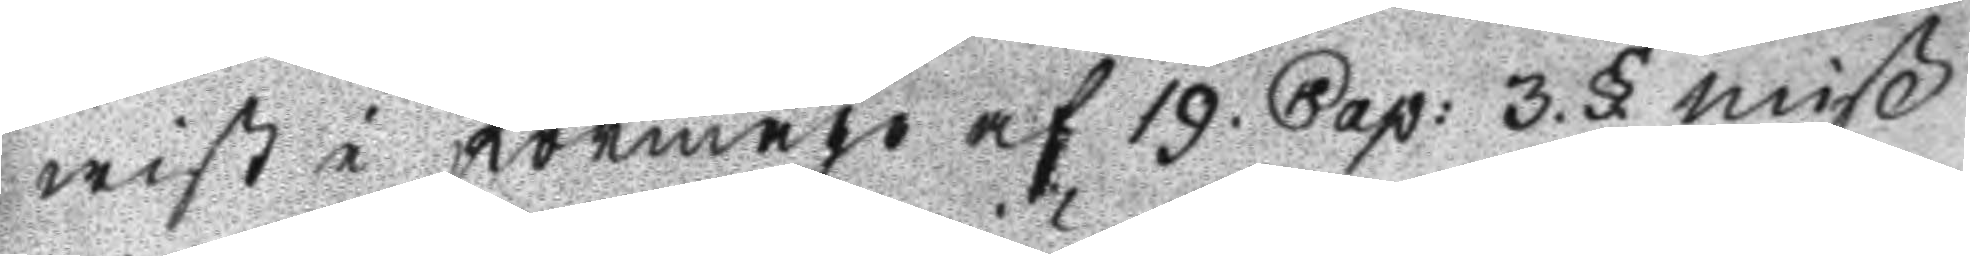wist i förmågo af 19. Cap: 3.§. miß
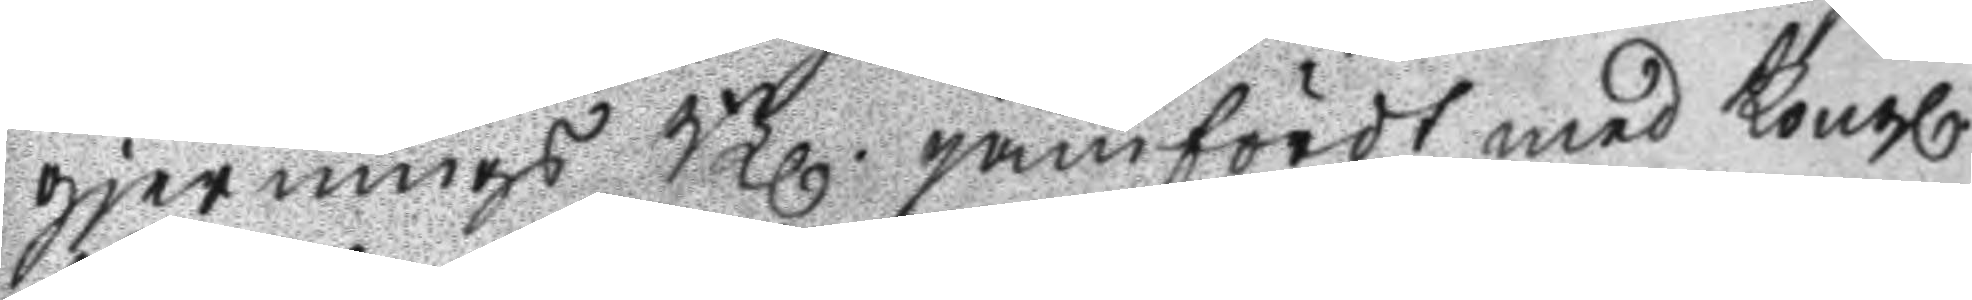gjernings Bl. jämfördt med Kongl.
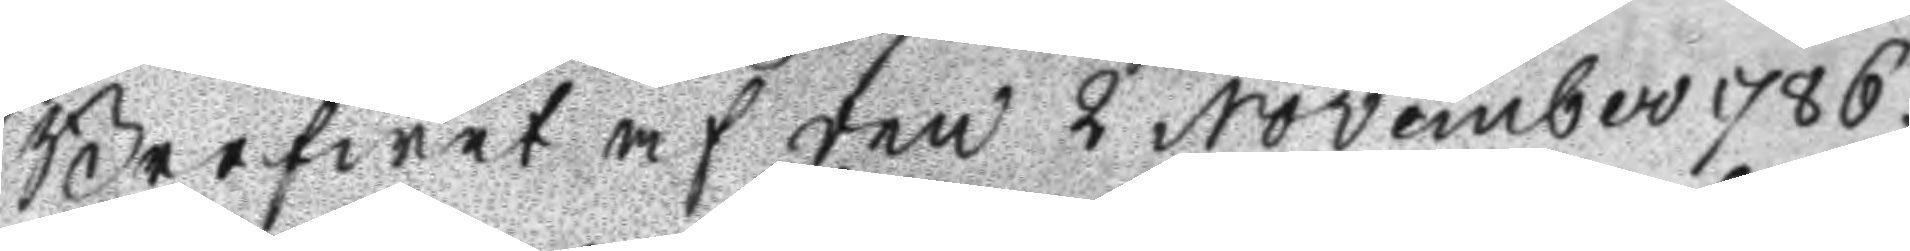Brefwet af den 2 November 1786.
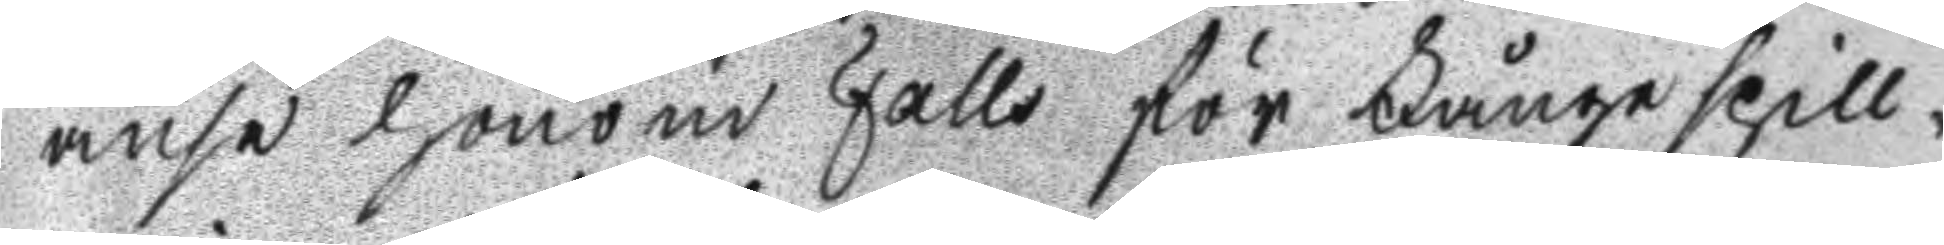anse honom Falls för Fångespill¬
